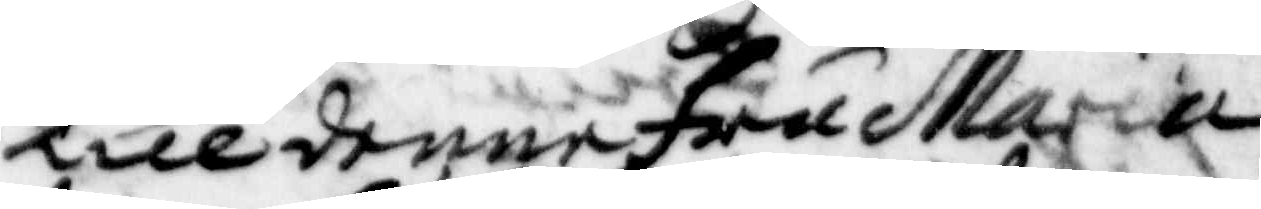Tille denne Fru Maria
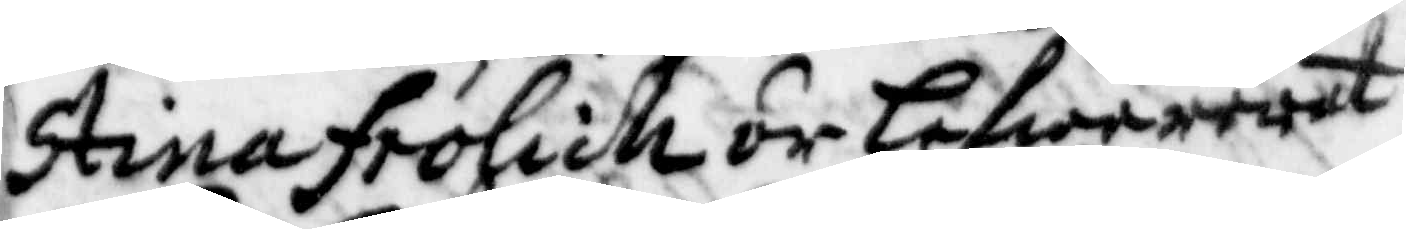Stina Frölich är lefwererat
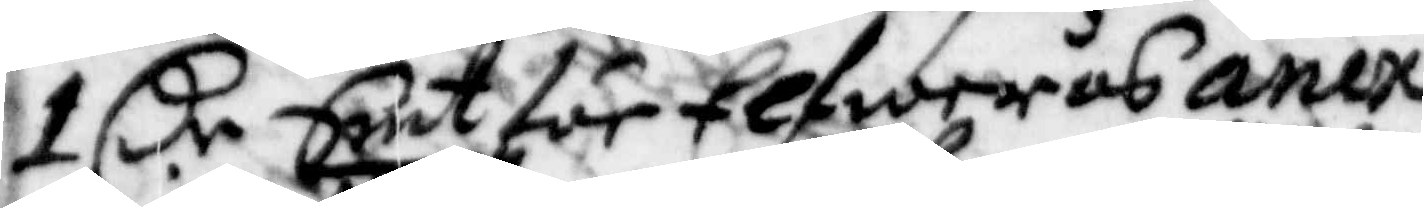1 Cr Smt för Elfwerås anex
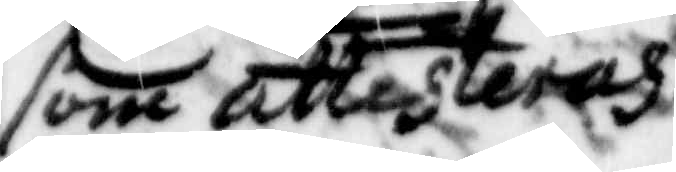som attesteras.
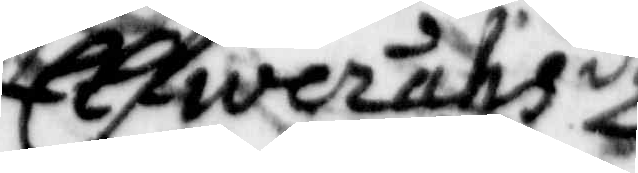Elfweråhs d
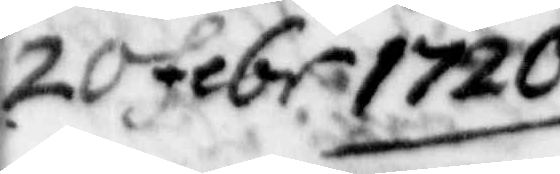20 febr 1720.
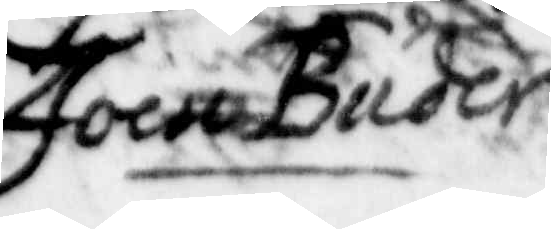Joen Buder
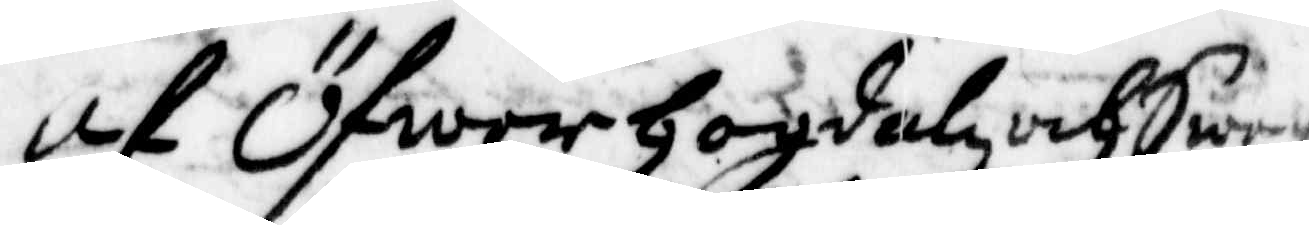af ÖfwerHogdahz och Sweg
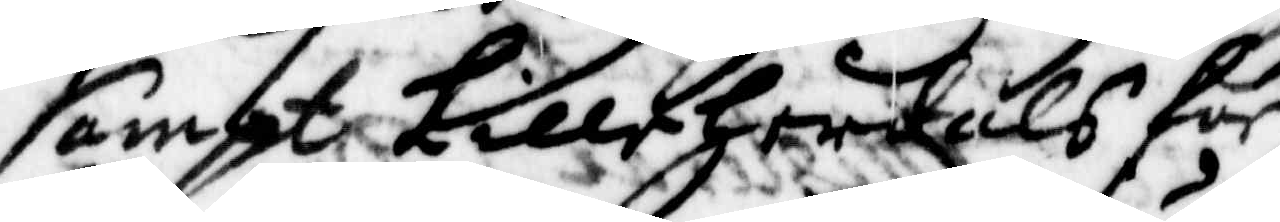sampt Lilleherdals för¬
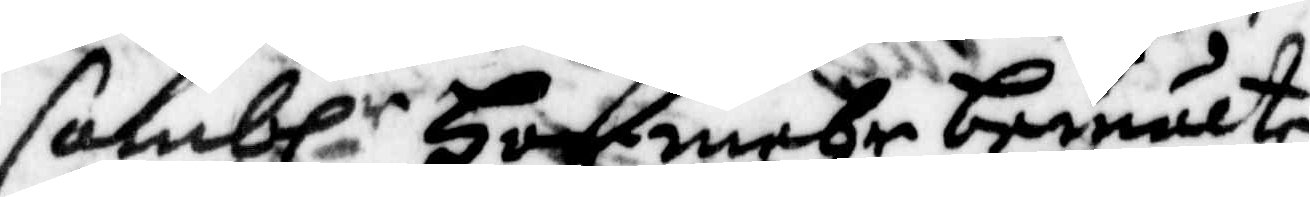sambl:r Har mehr bemälte
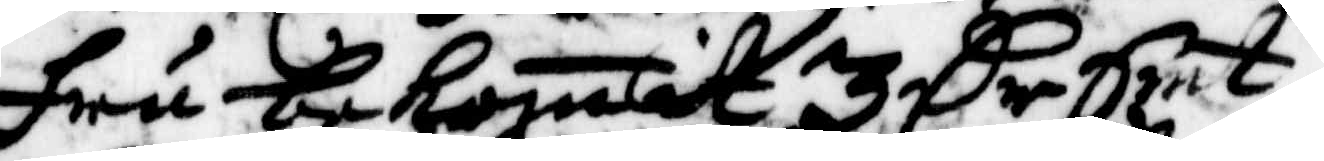fru bekomit 3 Cr Smt
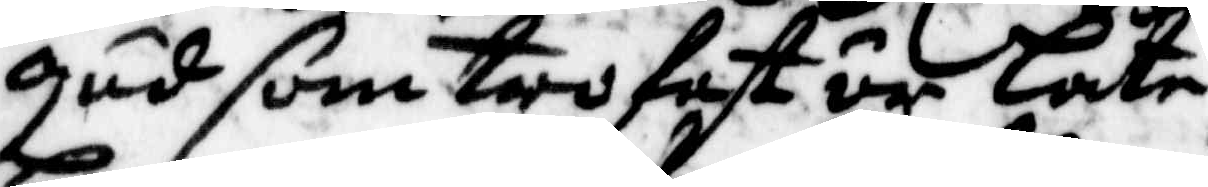gud som trofast är låte
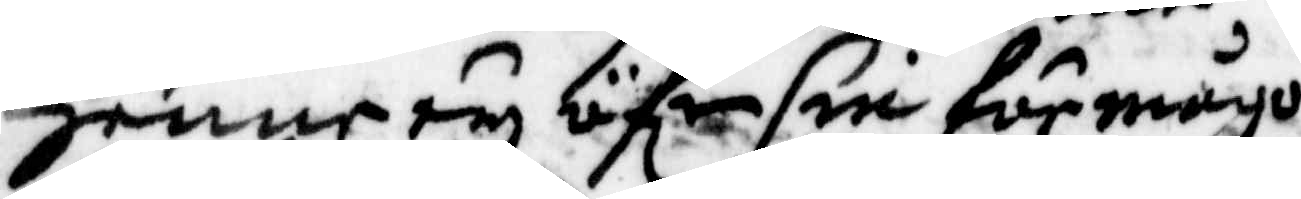henne ey öfr sin förmågo
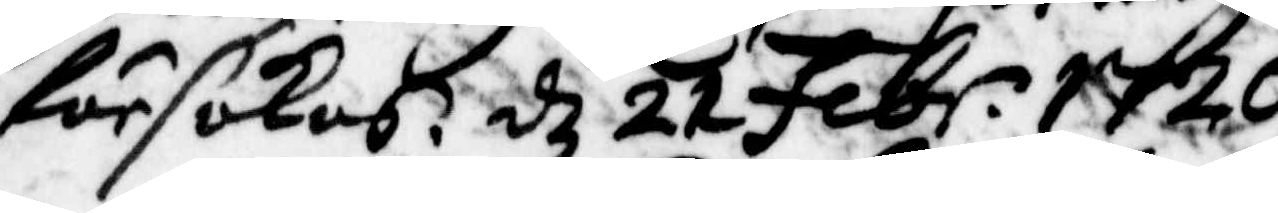försökas. d 21 Febr. 1720
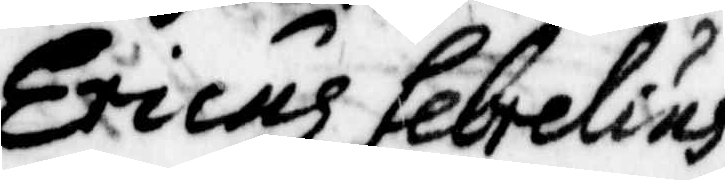Ericus Sebrelius
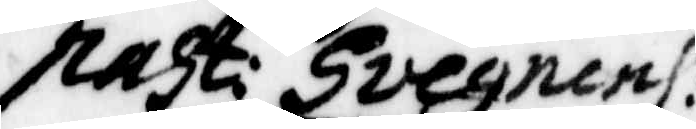past: Svegnenh:
